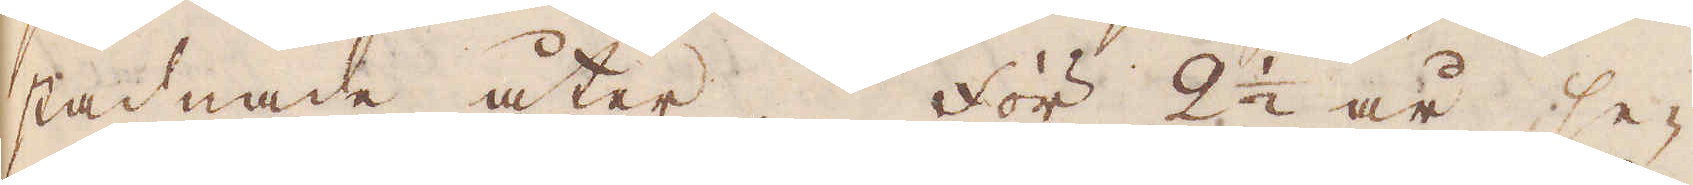stadnade åter. För 2 1/2 år se-
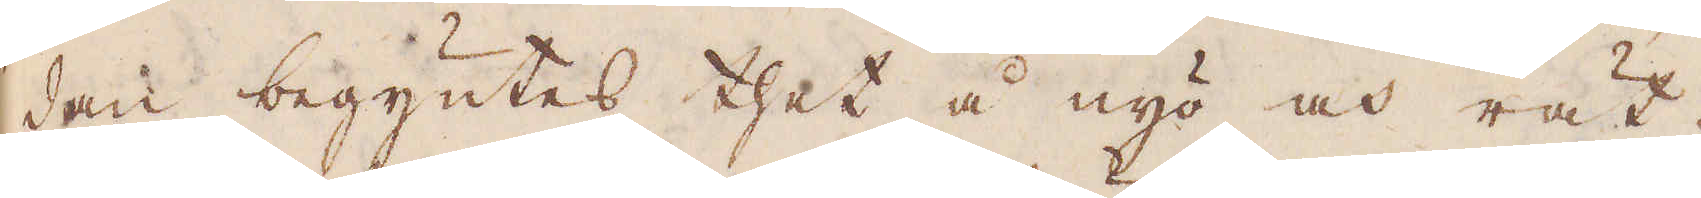dan begyntes thet å nyo och rät-
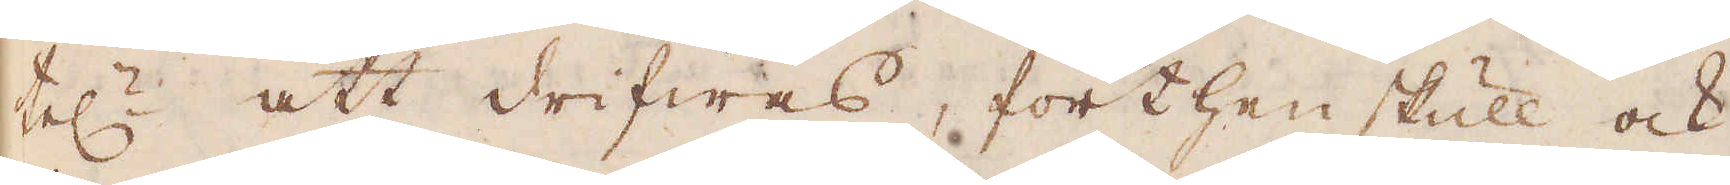tel:n att drifwas, förthenskull ock
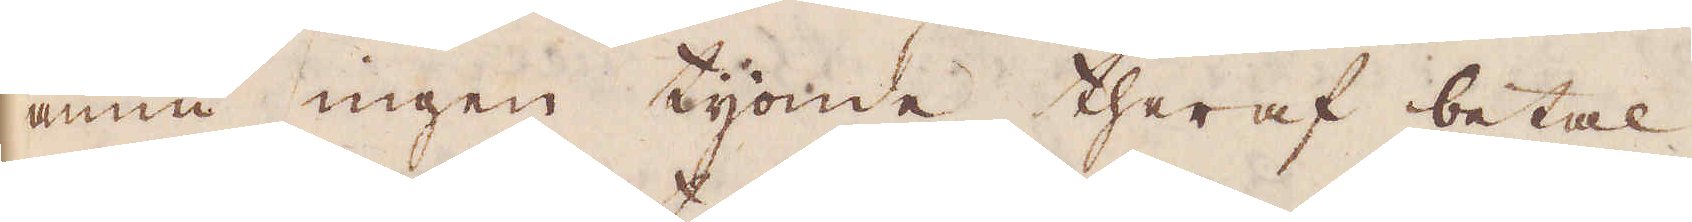ännu ingen tijonde theraf betal-
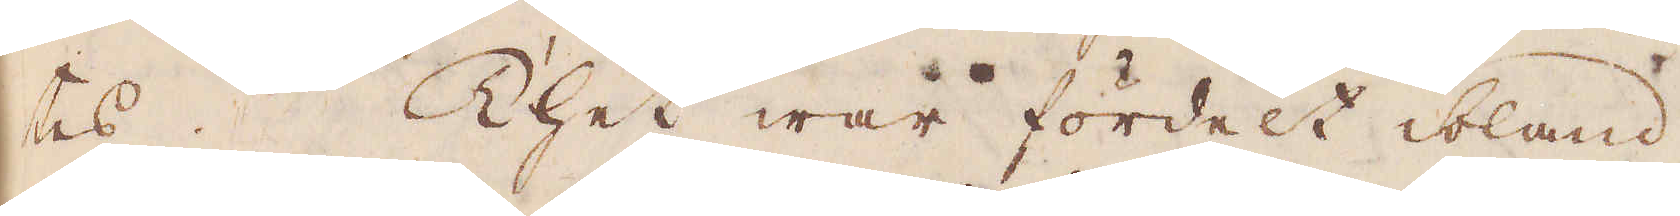tes. Thet war fördelt ibland
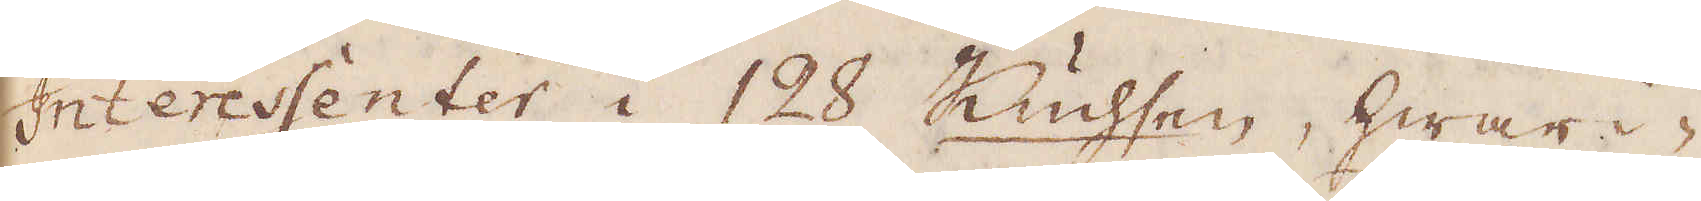Interessenter i 128 Kuchsen, hwari-
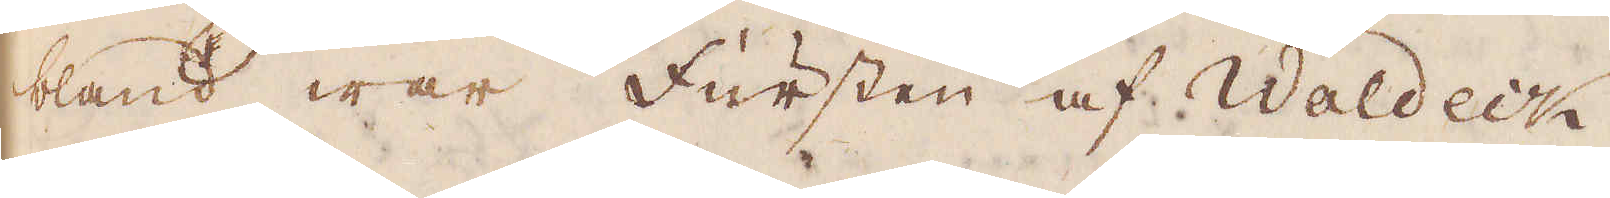bland war fursten af Waldeik,
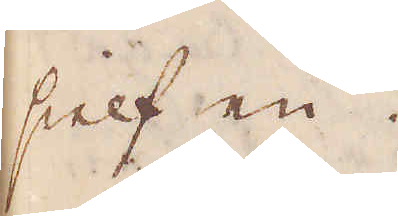sielf en.
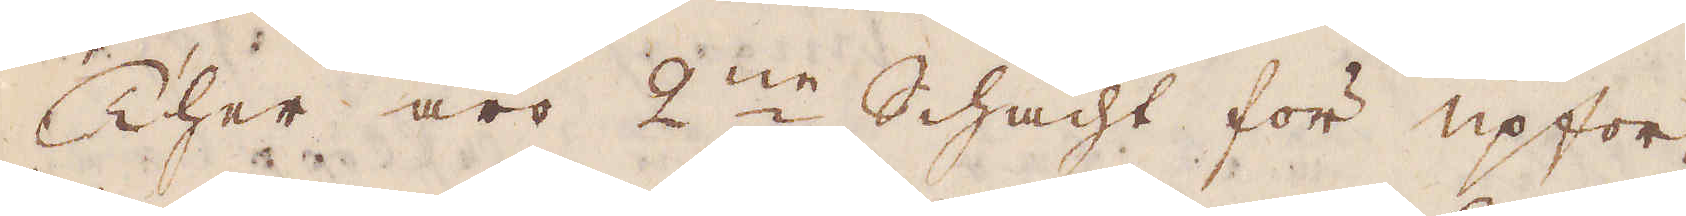Ther äro 2:ne Schacht för upfor-
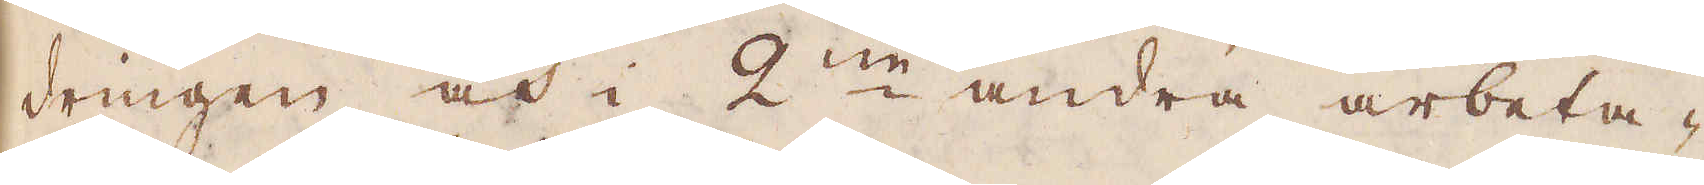dringen och i 2:ne andra arbeta-
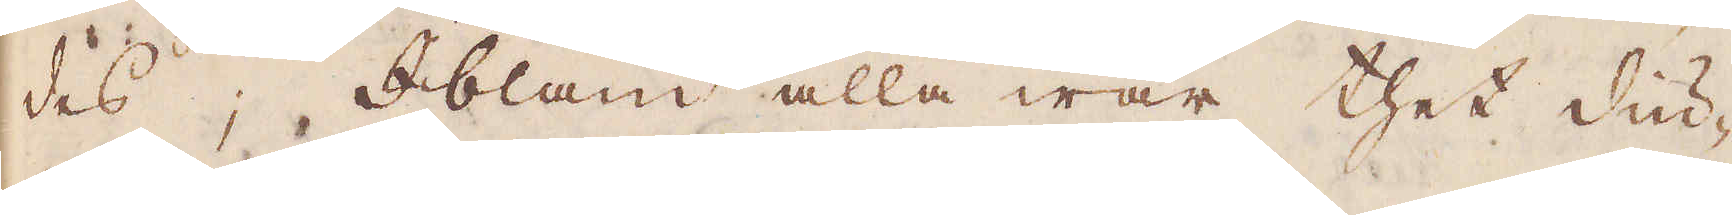des; Ibland alla war thet diu-
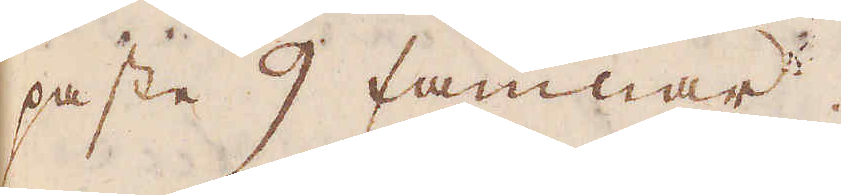paste 9 famnar.
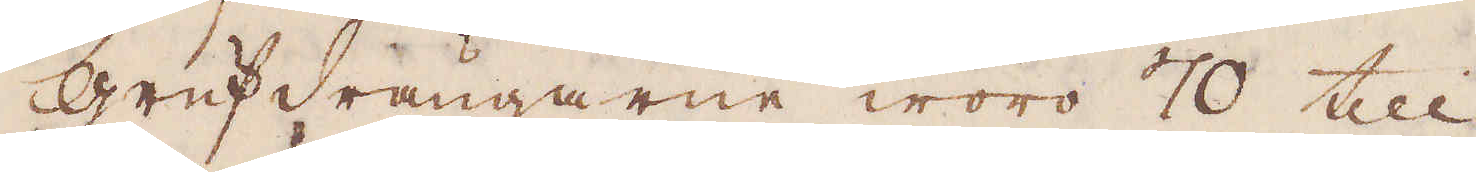Grufdrängarne woro 70 till
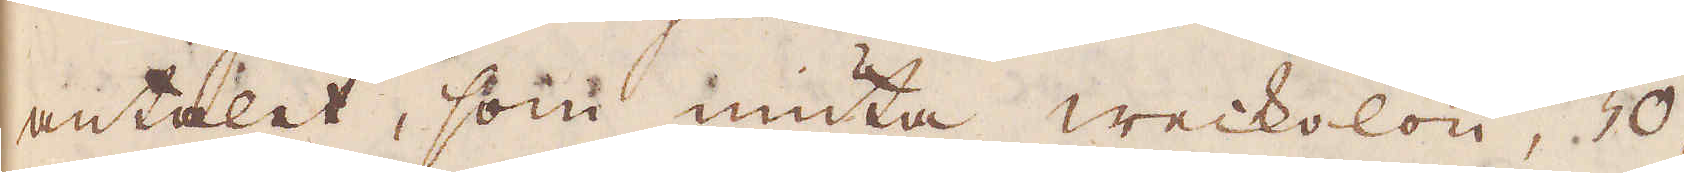antalet, som niuta weckolön, 30,
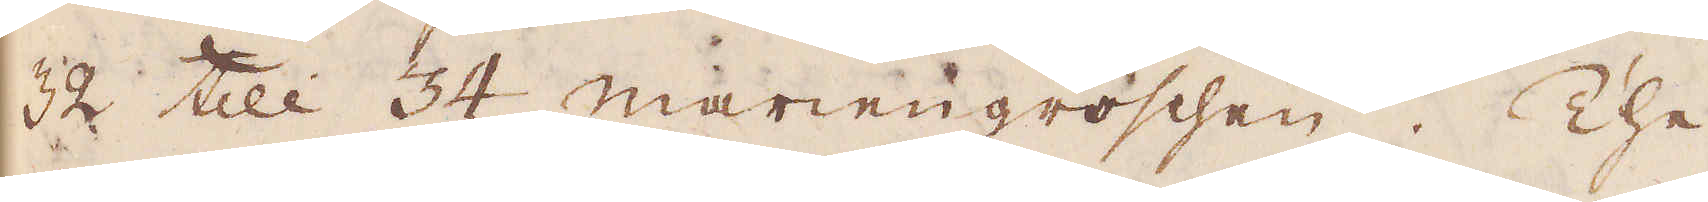32 till 34 mariengroschen. The
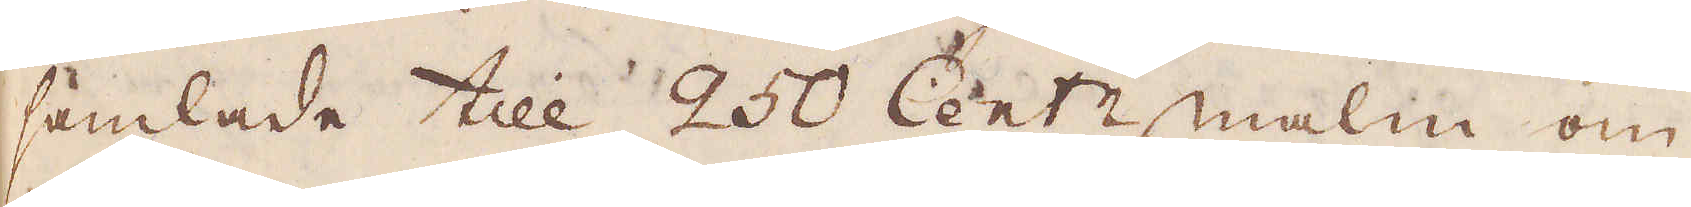samlade till 250 Cent:r malm om
